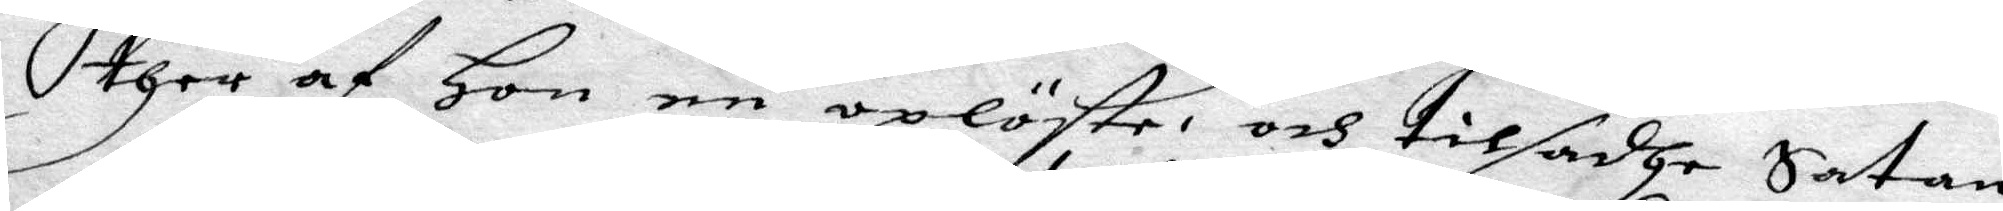ther af Hon en oplöste och tilsadhe Satan
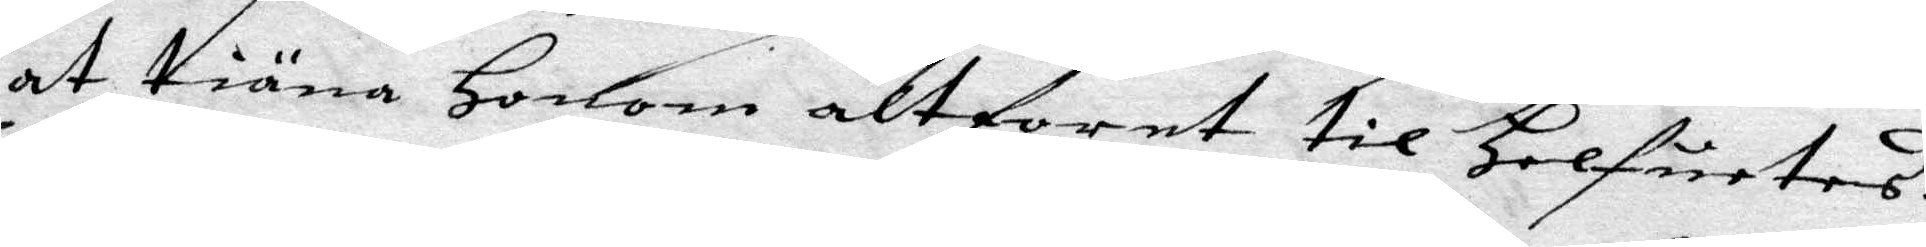at tiäna Honom altforet til Helfuetes:
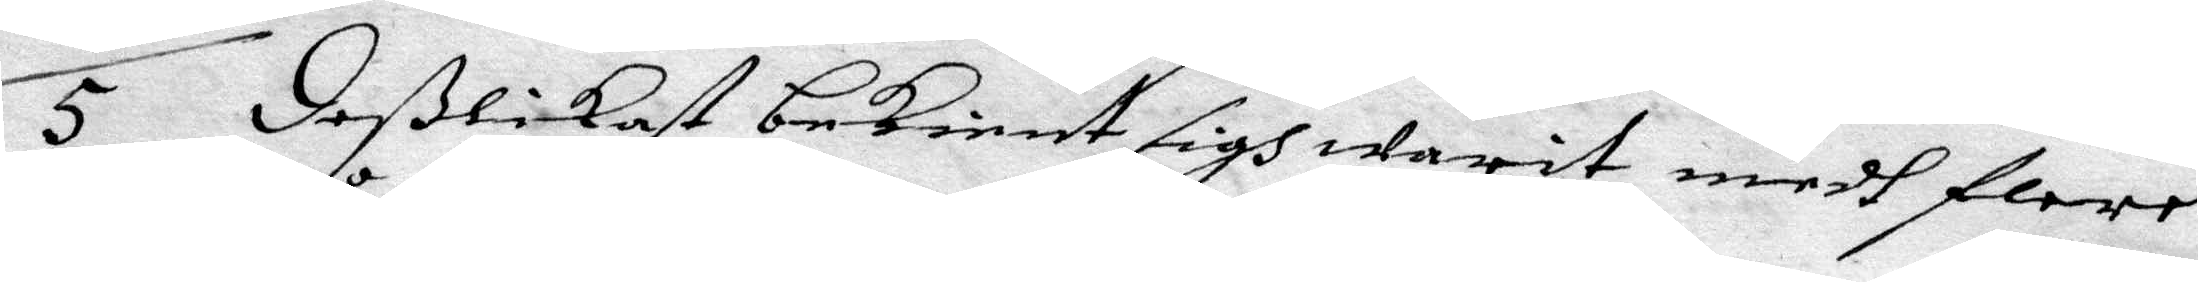5 deßlikast bekient sigh warit medh flere
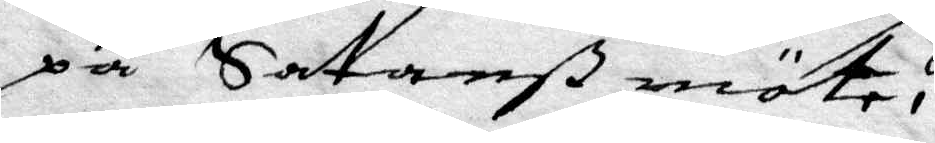på Satanß möte,
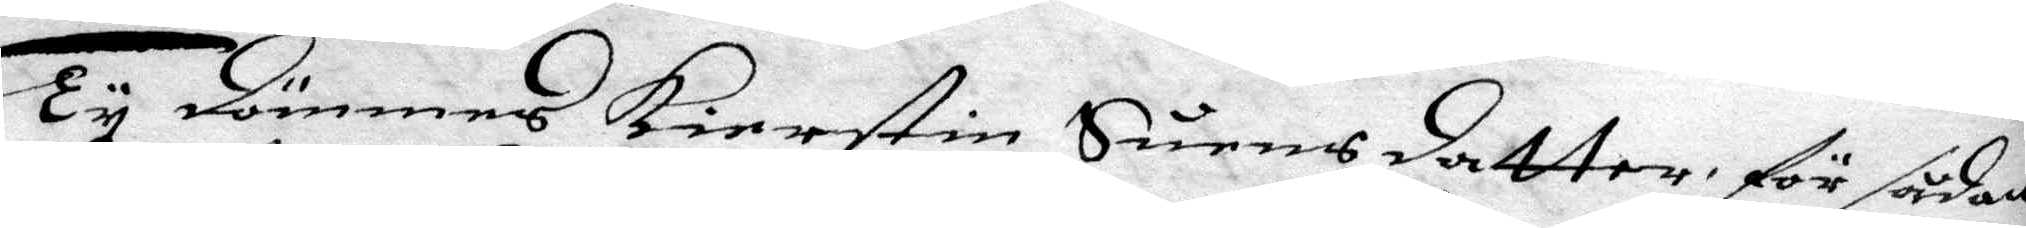Ty dömmes Kierstin Suens datter för sådan
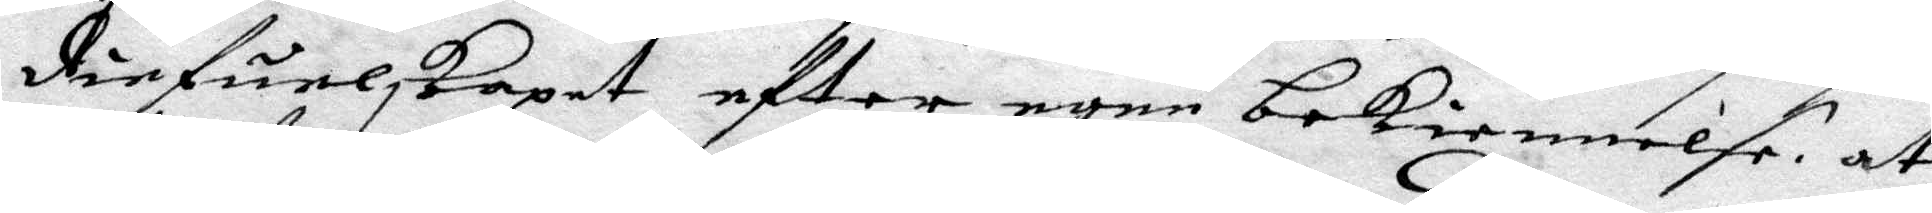diefulskaet efter egen bekiennelse at
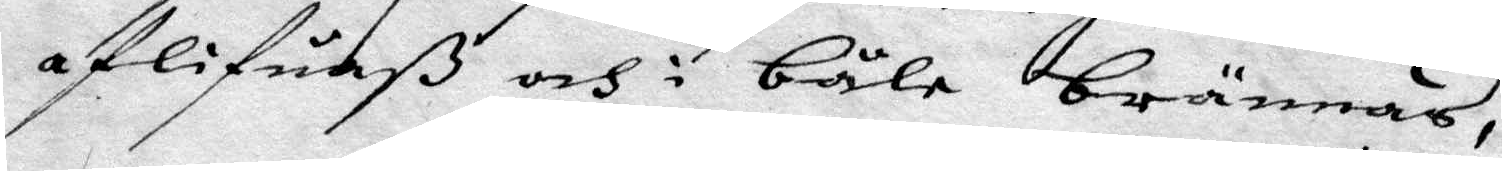aflifuaß och i båle brännas,
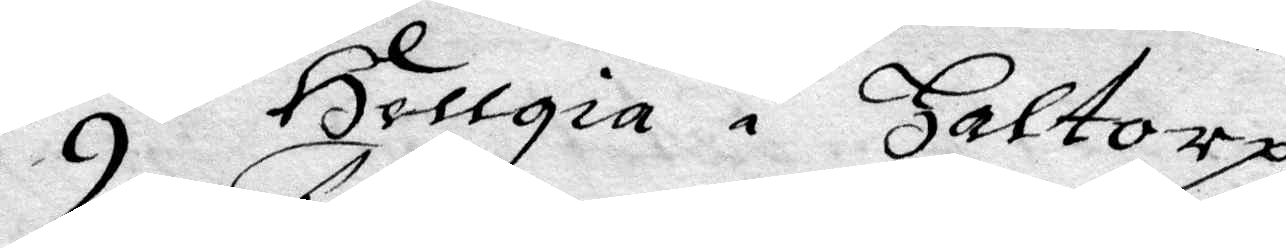9 Hellgia i haltorp
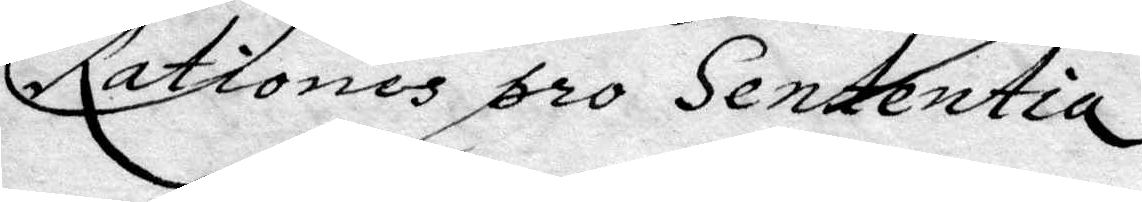Rationes pro Sententia
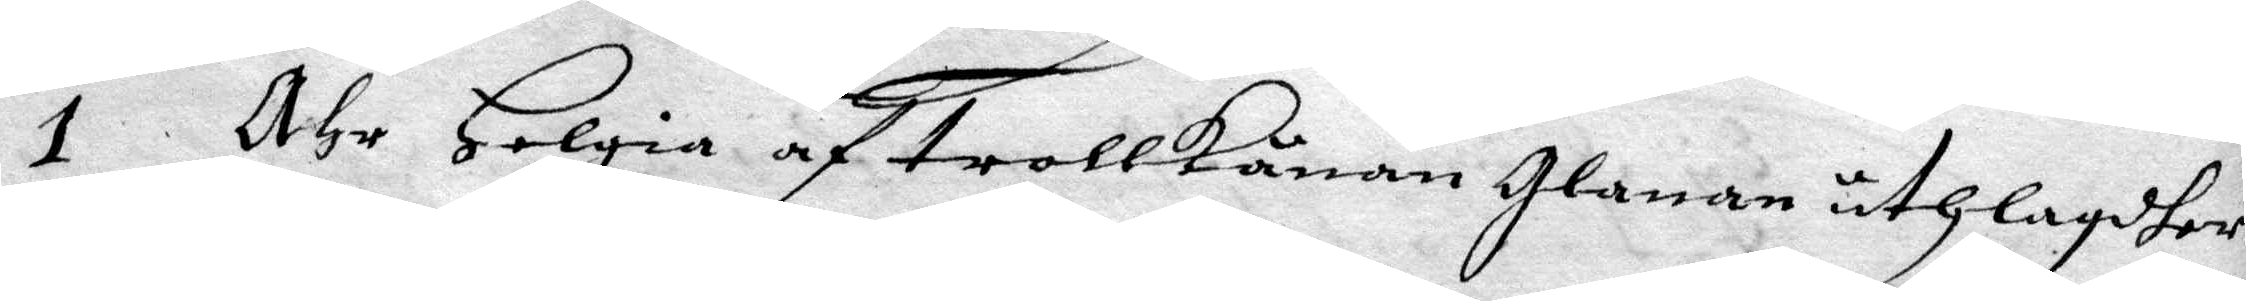1 Ähr Helgia af trollkånan Glanan uthlagdher,
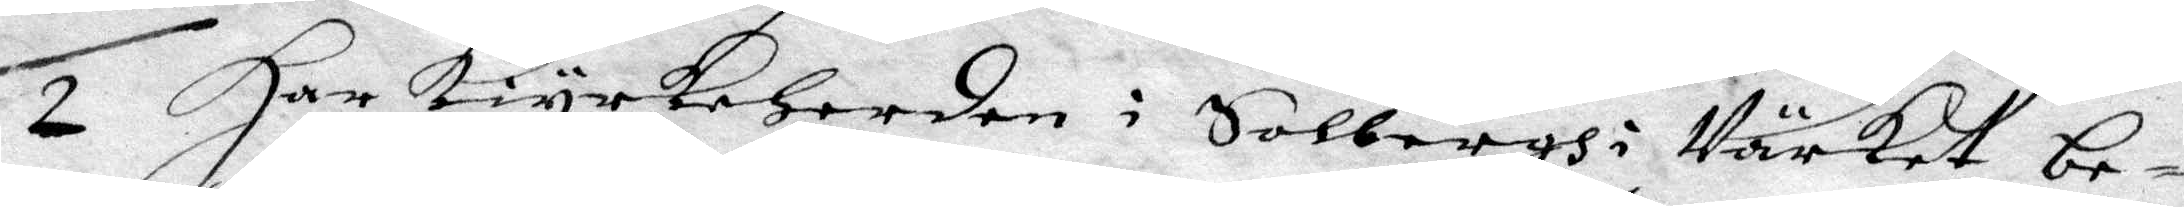2 Har kiyrkeherden i Solbergh i Närket be¬
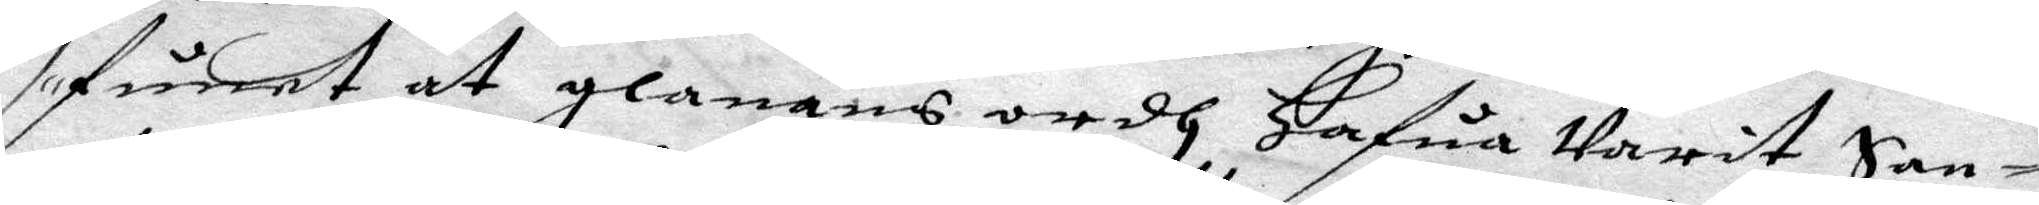fundet at glanans ordh Hafua Varit San¬
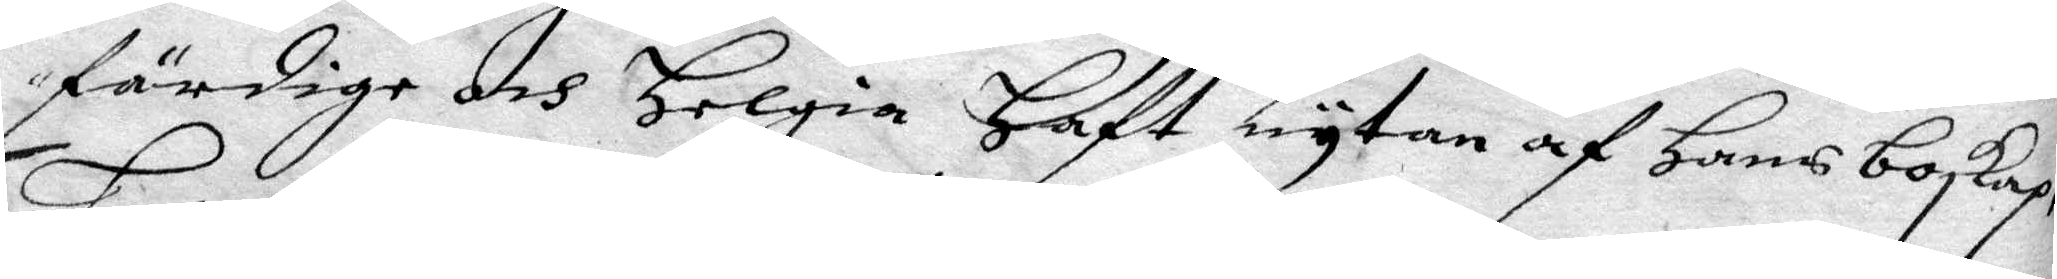färdige och Helgia Haft nytan af hans boskap,
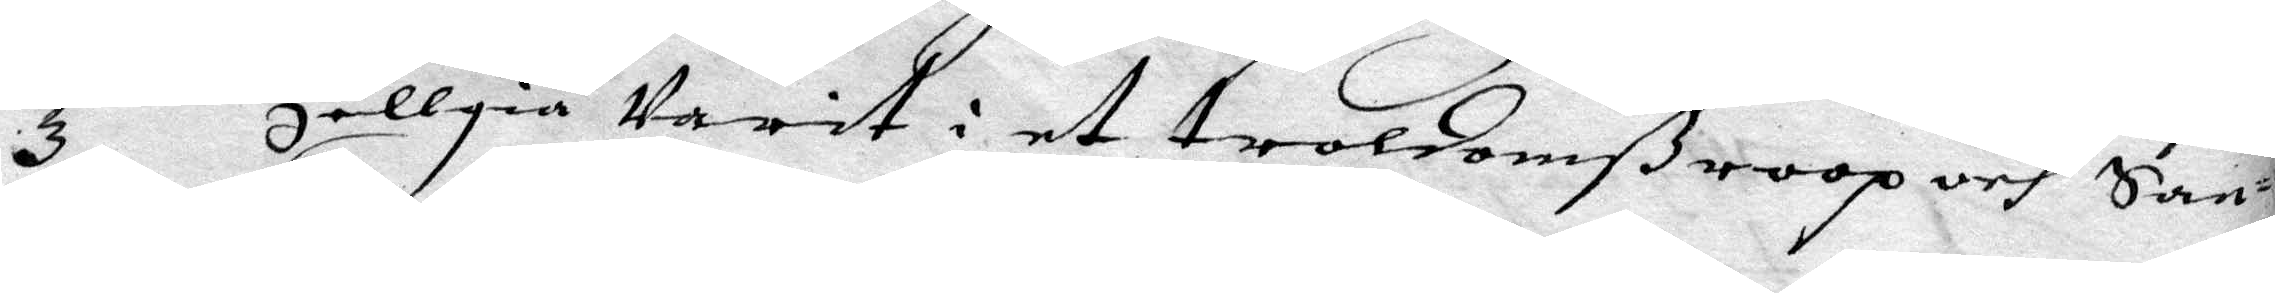3 Hellgia Varit i et troldomßroop och San¬
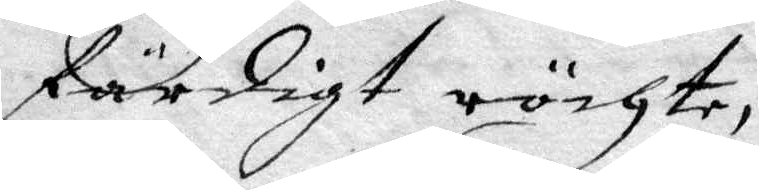färdiggt röchte,
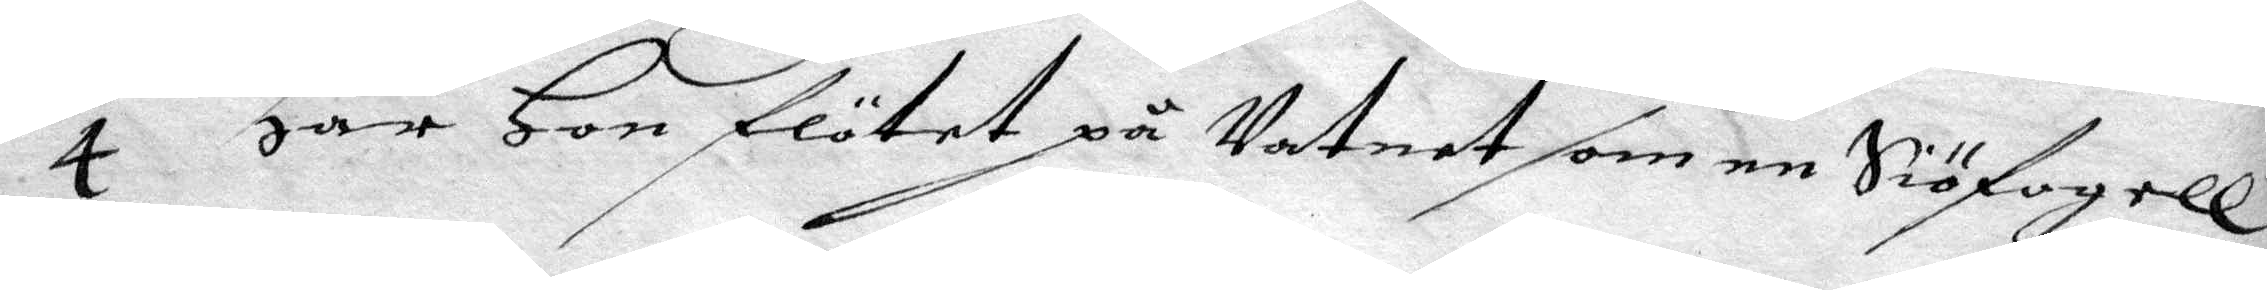4 Har Hon flötet på Vatnet som en Siöfogell
